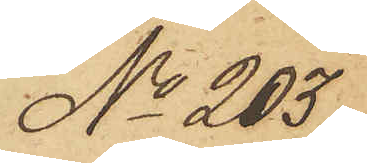No 203
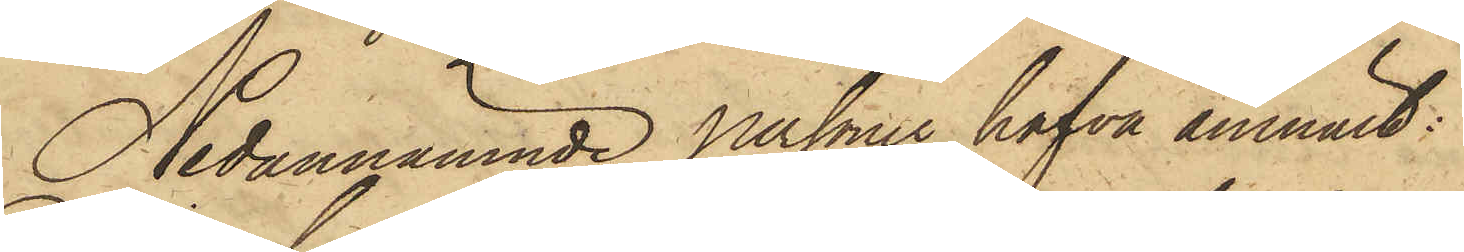Nedannämnde personer hafva anmält:
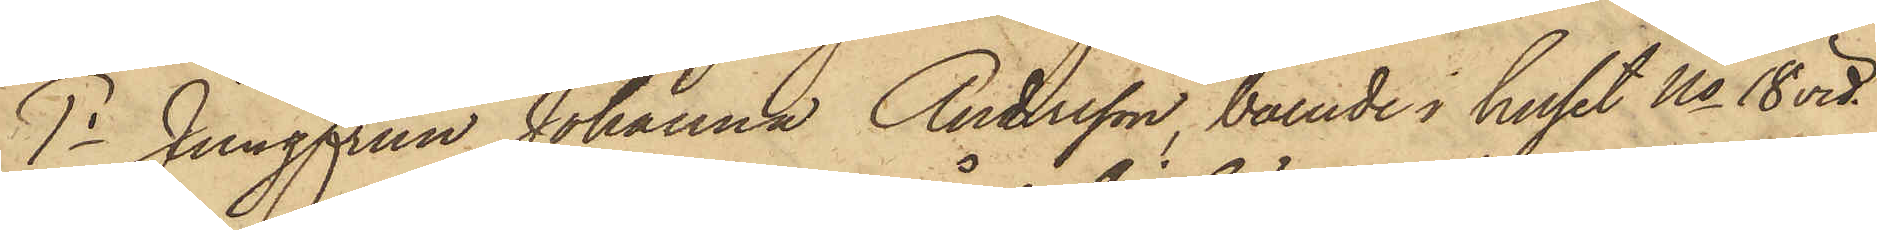1o Jungfrun Johanna Andersson, boende i huset No 18 vid
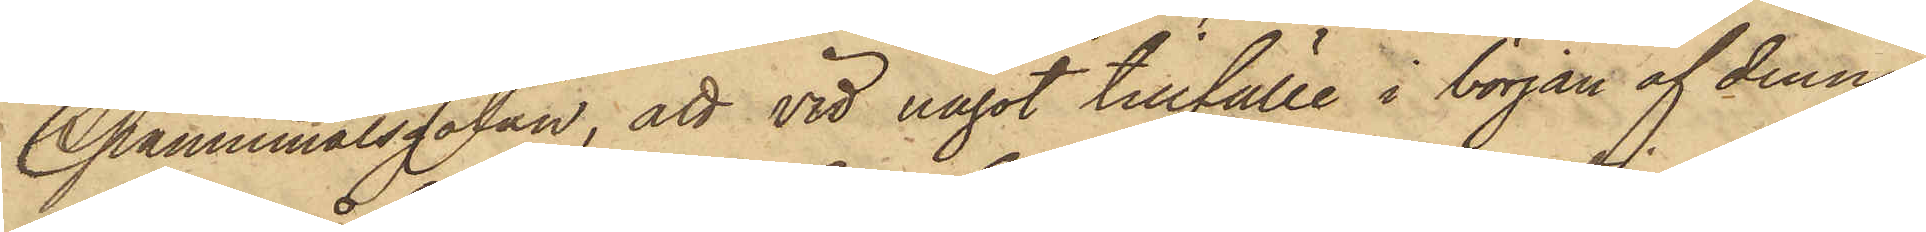Spannemålsgatan, att vid något tillfälle i början af denna
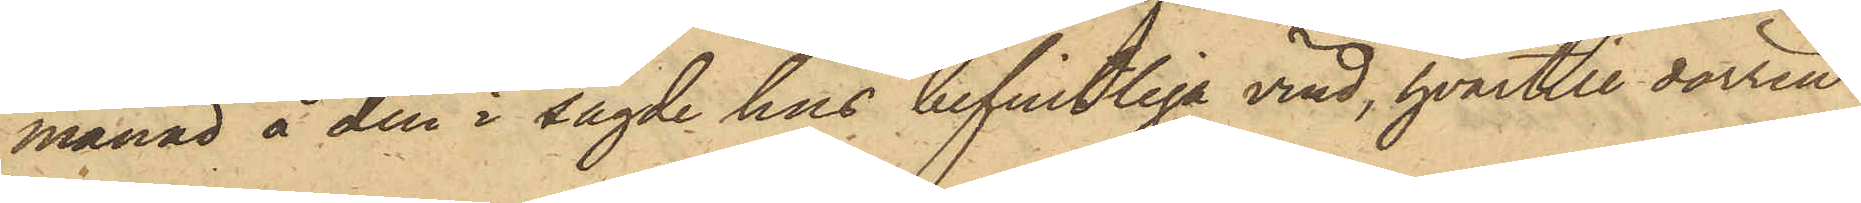månad å den i sagde hus befintliga vind, hvartill dörren
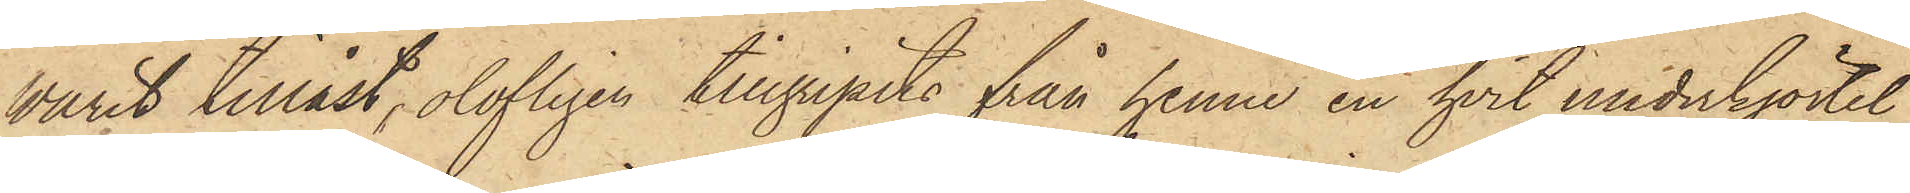varit tillåst, olofligen tillgripits från henne en hvit underkjortel
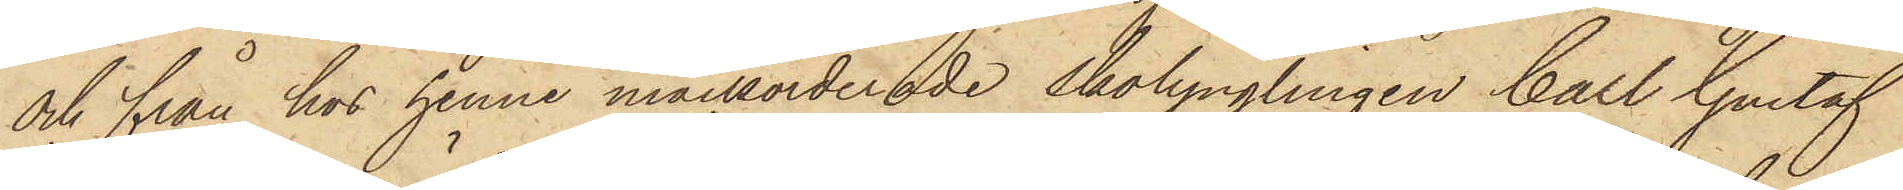och från hos henne inackorderade skolynglingen Carl Gustaf
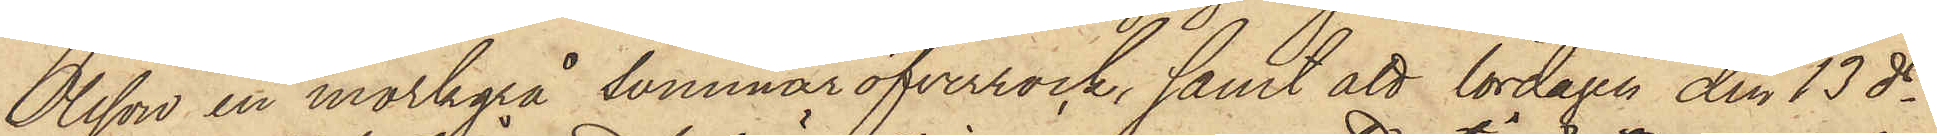Olsson en mörkgrå sommaröfverrock, samt att lördagen den 13 ds
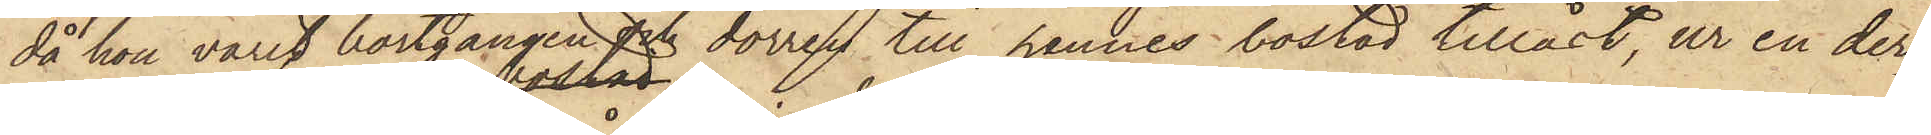då hon varit bortgången och dörren till hennes bostad tillåst, ur en der¬
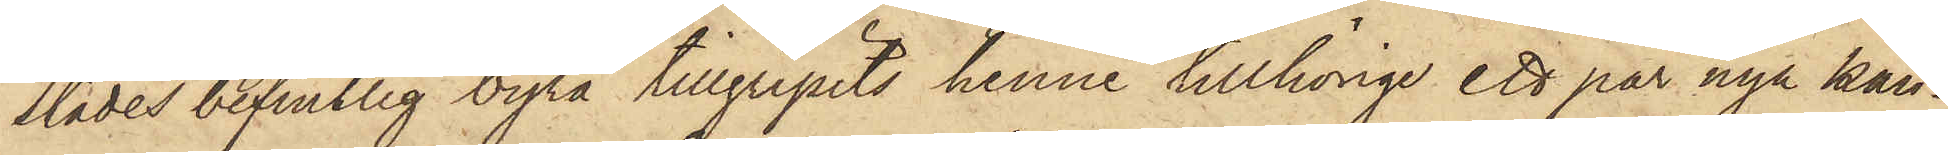städes befintlig byrå tillgripits henne tillhörige ett par nya kän¬
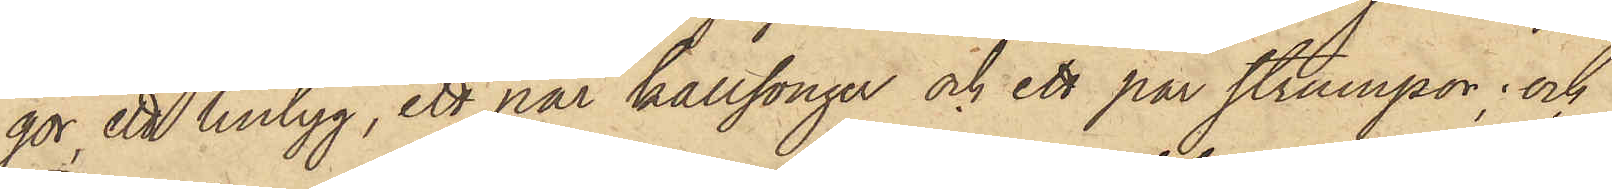gor, ett lintyg, ett par kallsonger och ett par strumpor; och
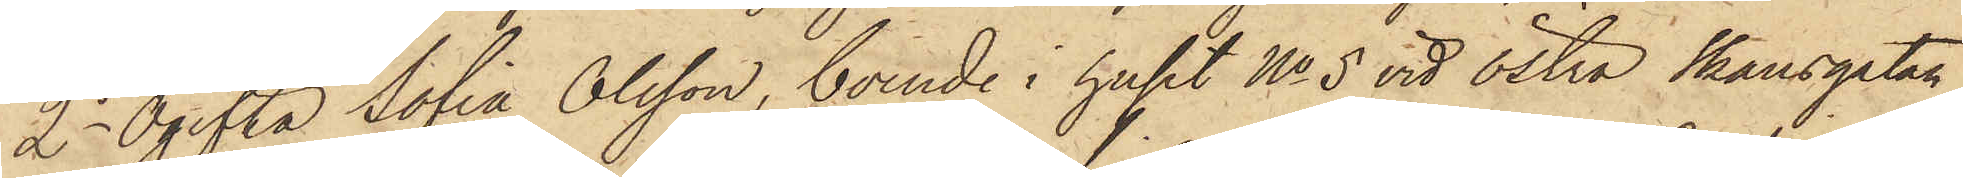2o Ogifta Sofia Olsson, boende i huset No 5 vid Östra Skansgatan
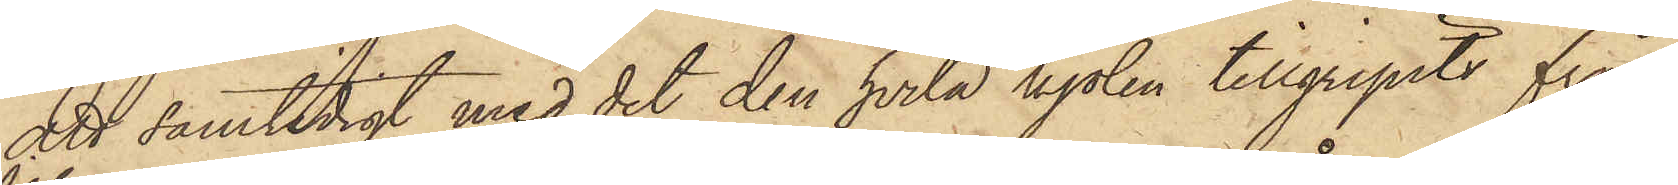att samtidigt med det den hvita kjolen tillgripits från
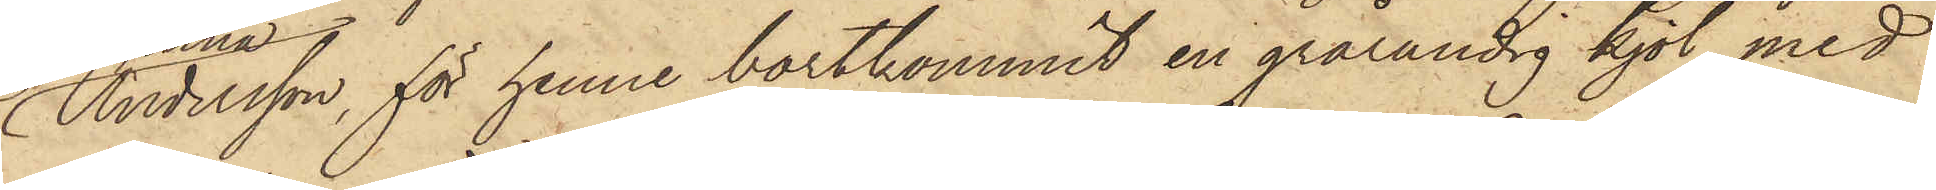Andersson, för henne bortkommit en grårandig kjol med
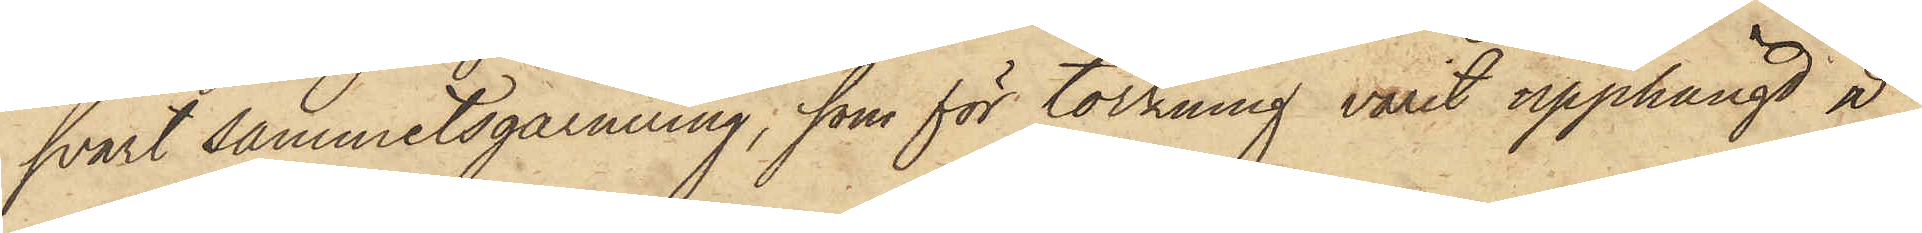svart sammetsgarnering, som för torkning varit upphängd å
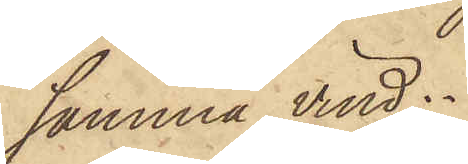samma vind.
